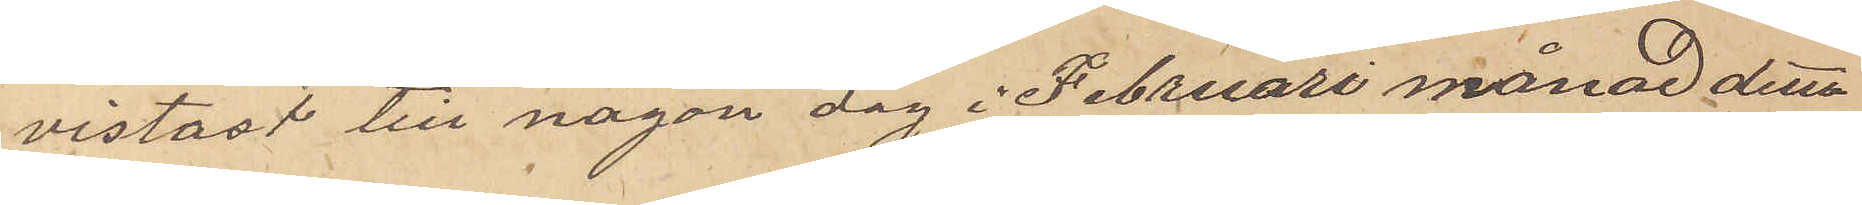vistast till någon dag i Februari månad detta
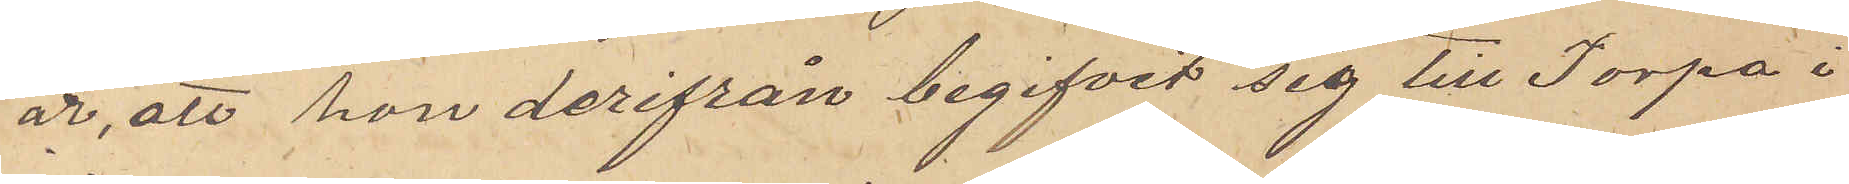år, att hon derifrån begifvit sig till Torpa i
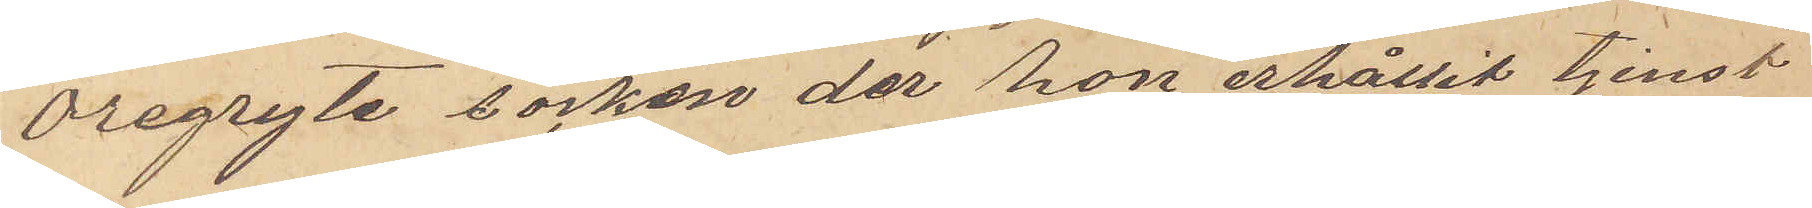Öregryte socken der hon erhållit tjenst
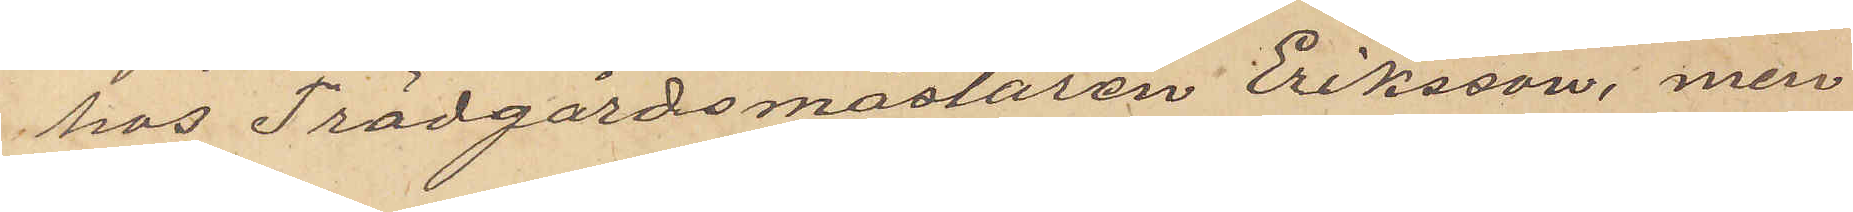hos Trädgårdsmästaren Eriksson, men
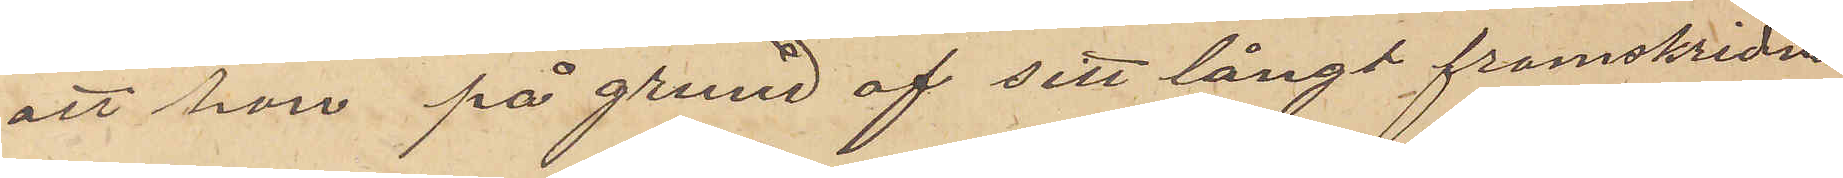att hon på grund af sitt långt framskridna
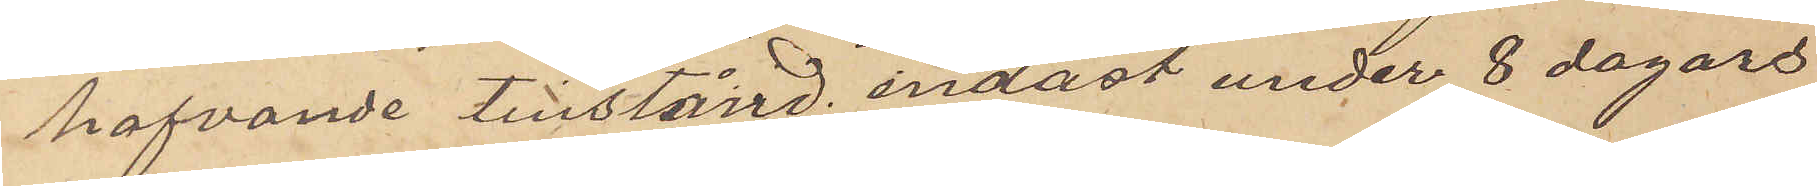hafvande tillstånd endast under 8 dagars
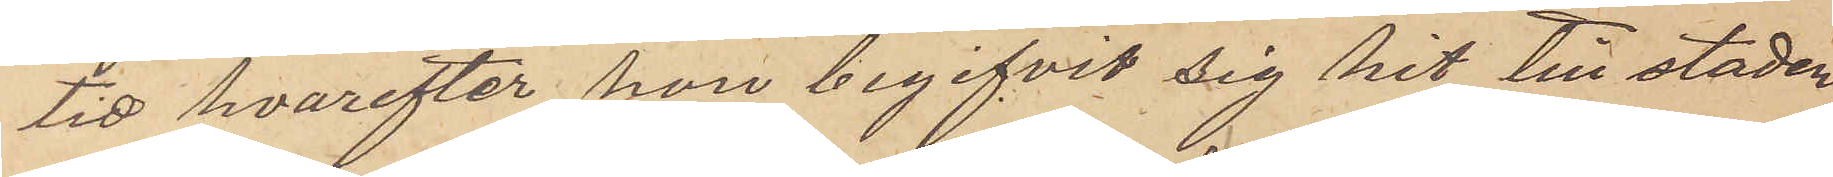tid hvarefter hon begifvit sig hit till staden
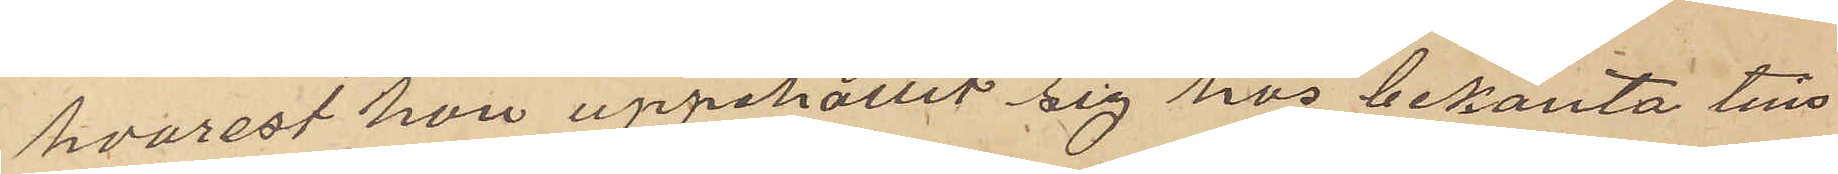hvarest hon uppehållit sig hos bekanta tills
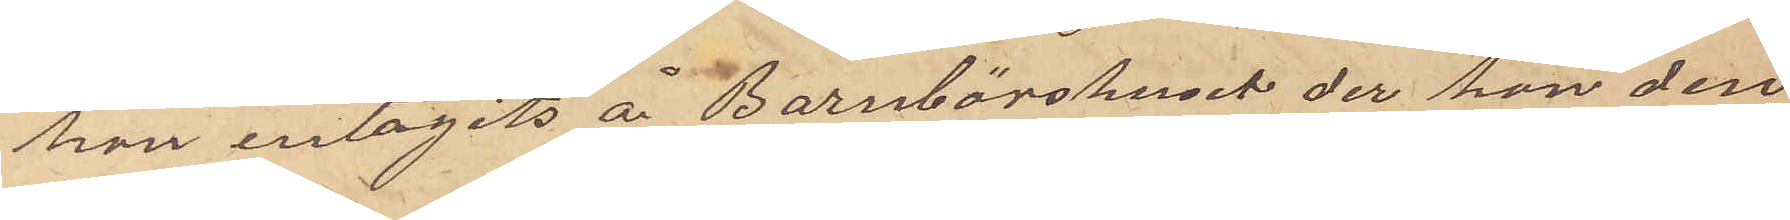hon intagits å Barnbörshuset der hon den
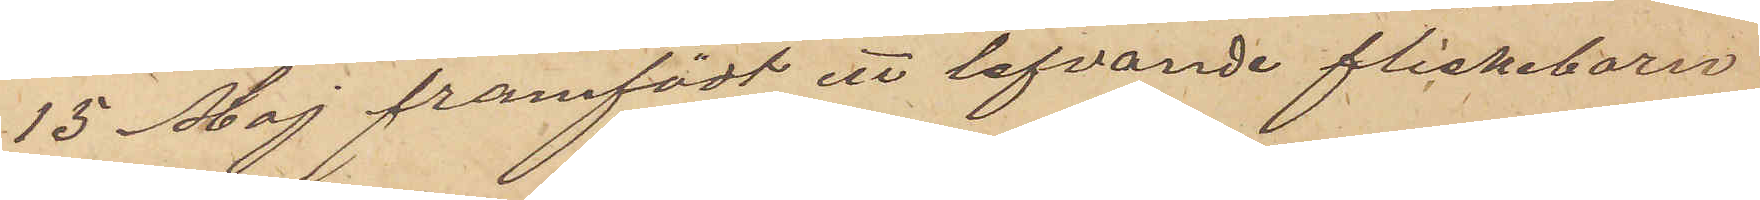15 Maj framfödt ett lefvande flickbarn,
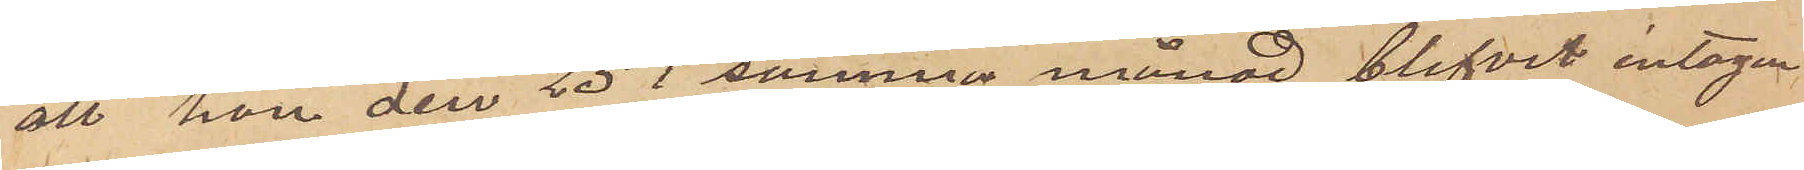att hon den 25 i samma månad blifvit intagen
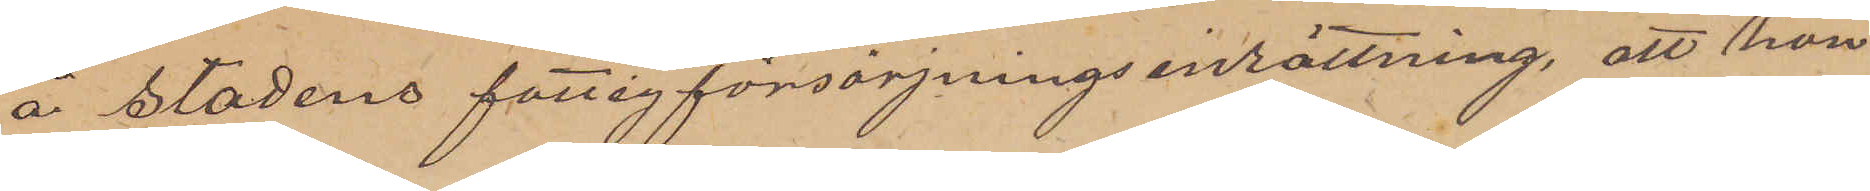å stadens fattigförsörjningsinrättning, att hon
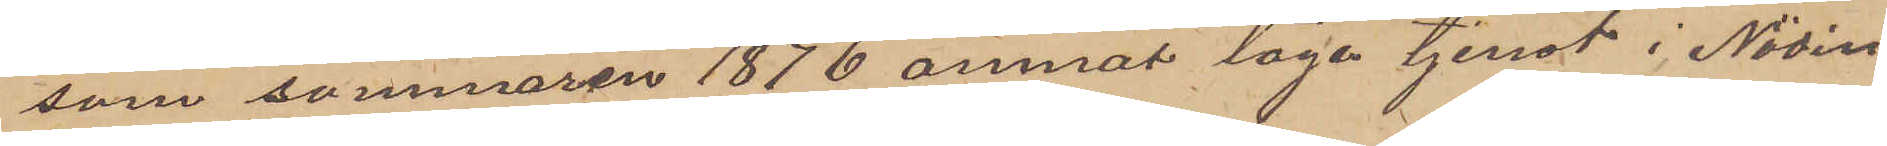som sommaren 1876 ämnat taga tjenst i Nödin¬
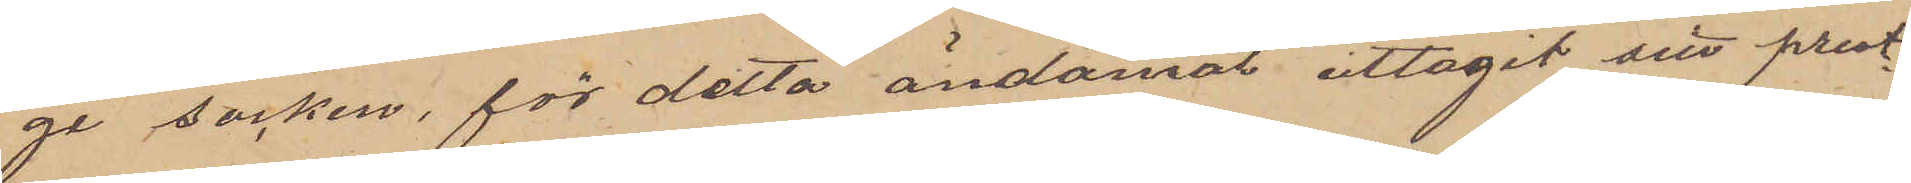ge socken, för detta ändamål uttagit sitt prest¬
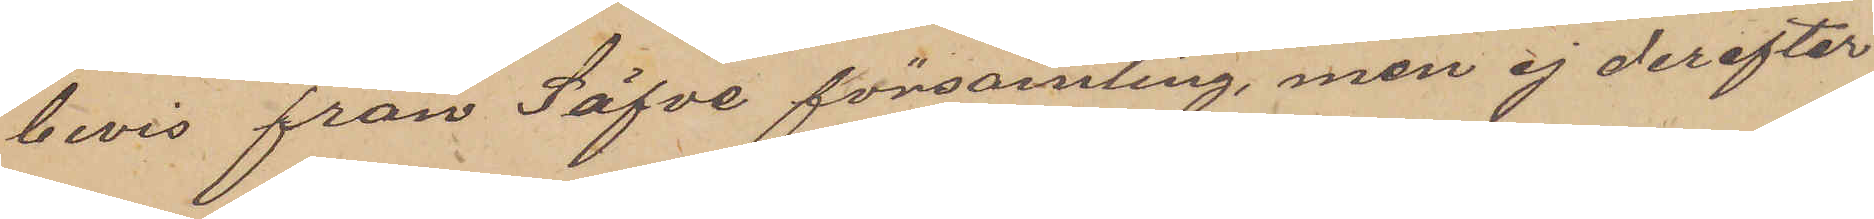bevis från Säfve församling, men ej derefter
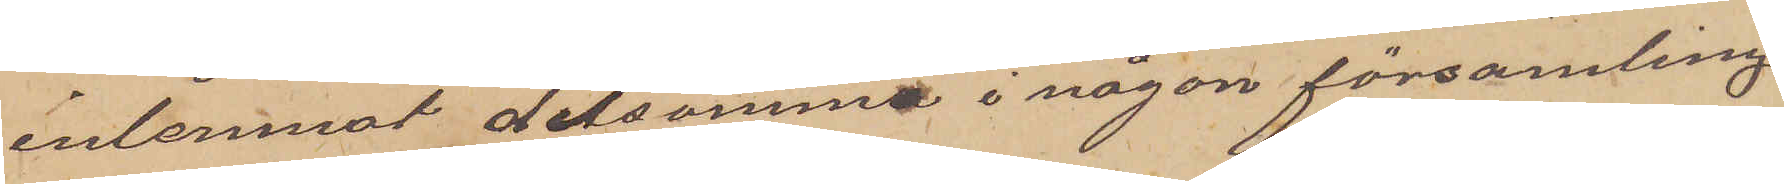inlemnat detsamma i någon församling.
